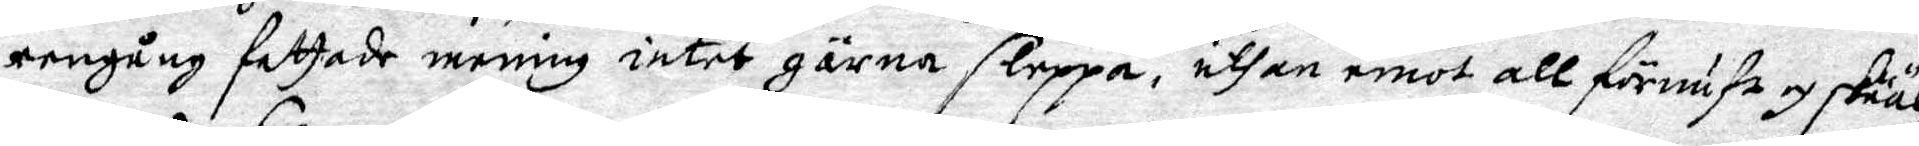eengång fattade mening intet gärna sleppa, uthan emot all förnuft och skiäl,
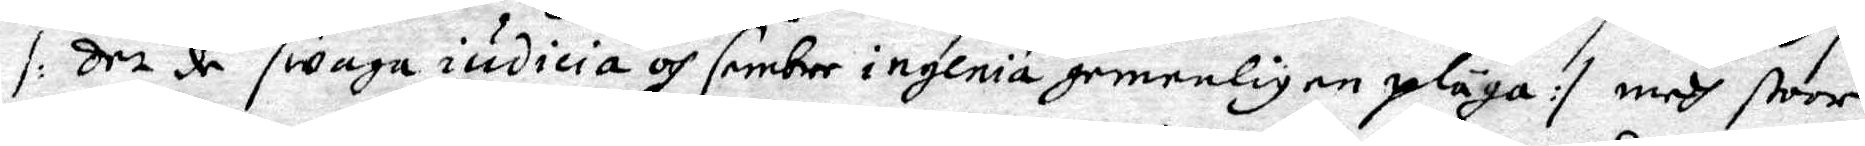/: det de swaga iudicera och sembre inglnia gemenligen pläga :/ medh stoor
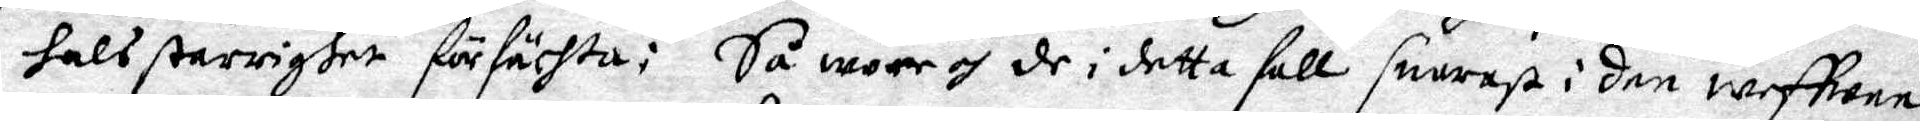hals starrighet förfächta: Så wore och de i detta fall snarast i den wefhoee
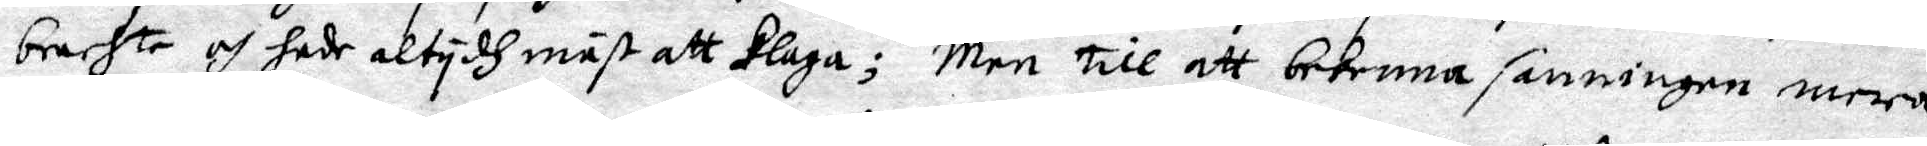brachte och hade altydh mäst att klaga; Men till att bekenna sanningen mera
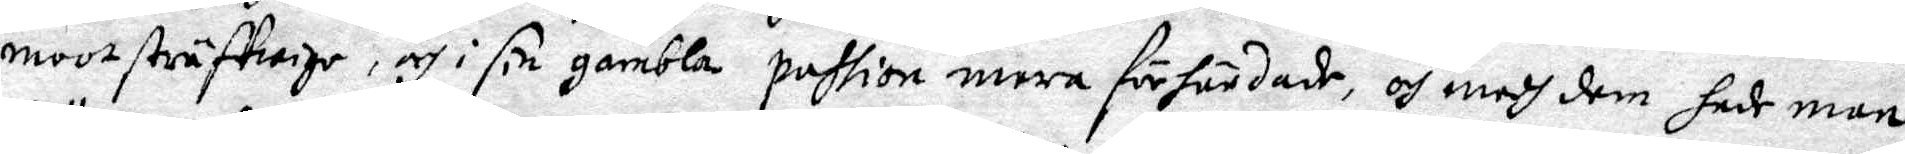mootsträffwige, och i sin gambla pahtion wara förhärdade, och medh dem hade man
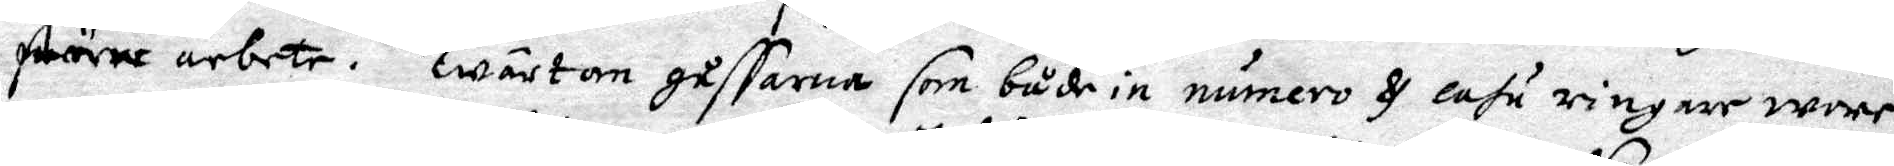större arbete. Twärtom gåssarne som både in numero & casu ringare wore,
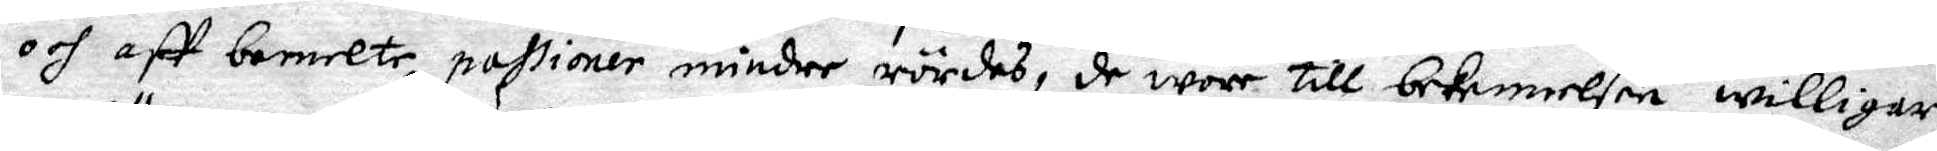och aff bemelte passioner mindre rördes, de wore till bekennelse willigare
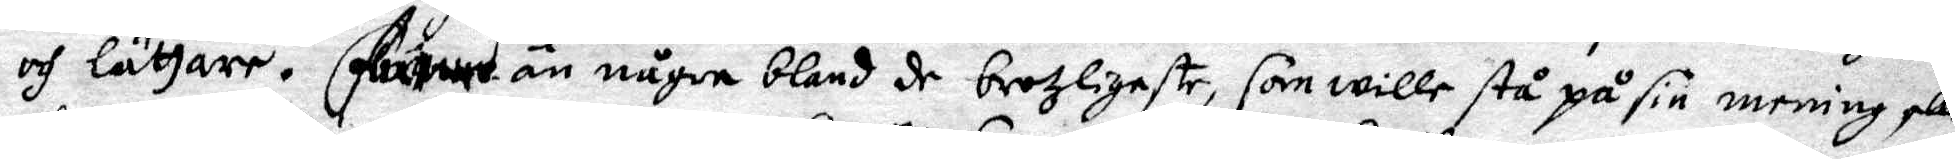och lättare. än någre bland de brotzligaste som wille stå på sin mening
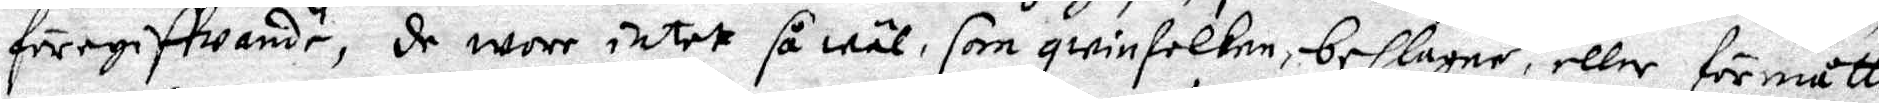föregiffwande, de wore intet så wäl, som qwinfolken, beslagne, eller förmåtte
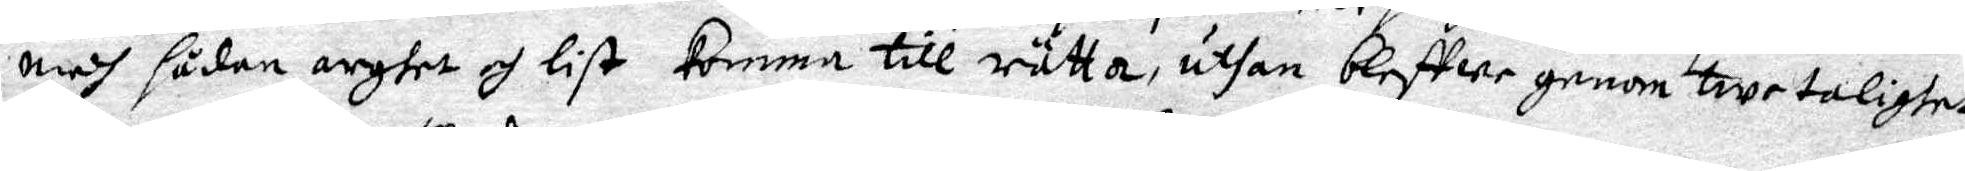medh sådan arghet och list komma till rätta, uthan bleffwe genom twetalighet
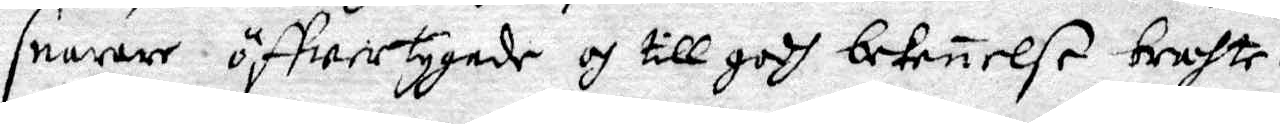snarare öffwertygade och till godh bekennelse brachte.
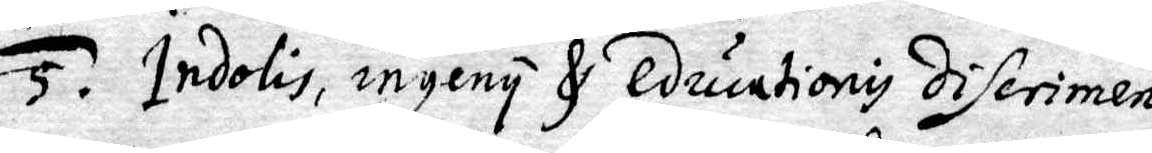5. Indolis, ingeny & educationis diferimen.
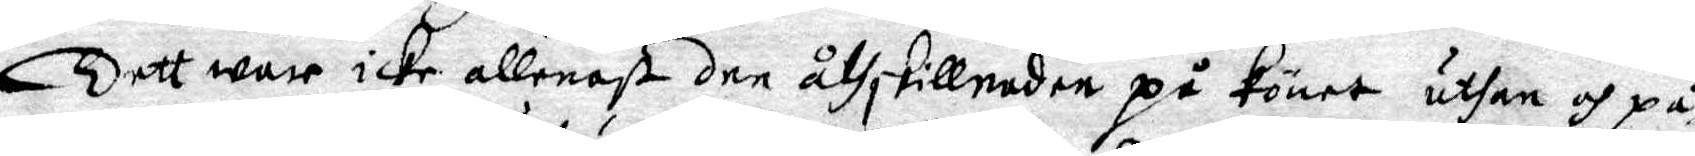Dett war icke allenast den åthskillnaden på könet uthan och på
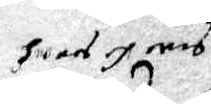hwad och med
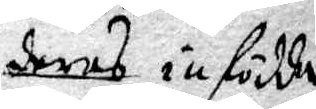deras infödda
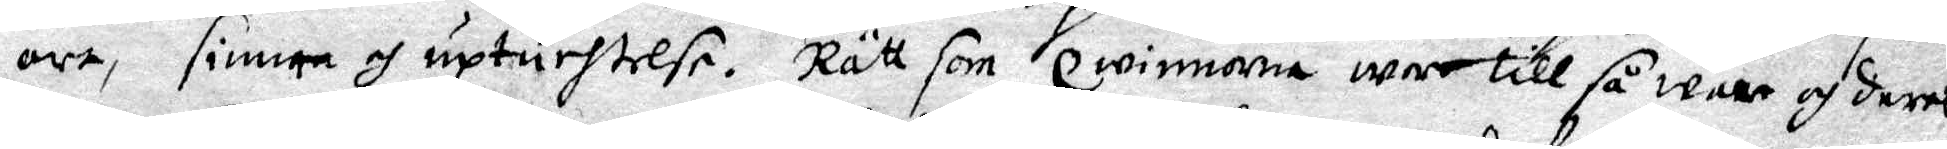oro, sinne och upturhtrese. Rätt som qwinnorna war till så wore och deras
